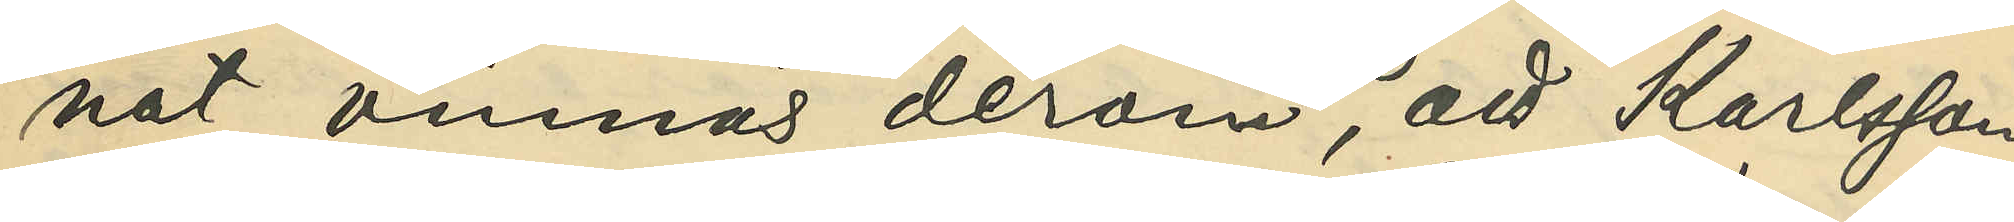nat vinnas derom, att Karlsson
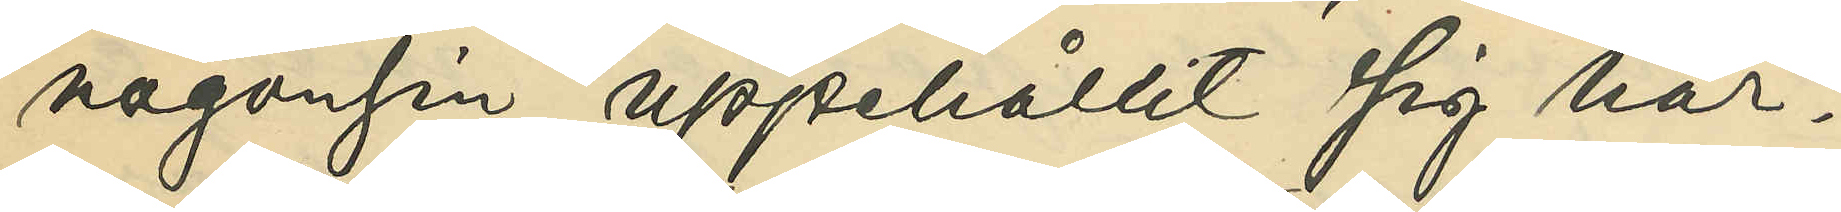någonsin uppehållit sig här.
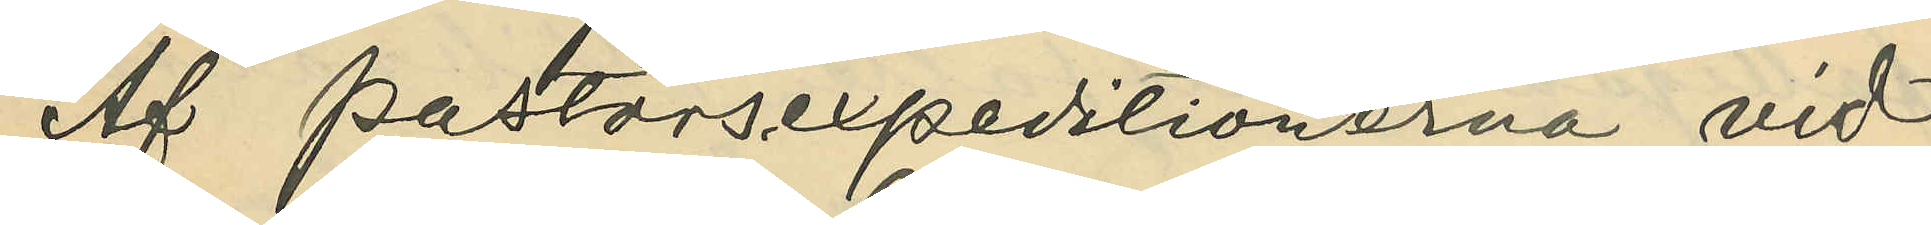Af pastorsexpeditionerna vid
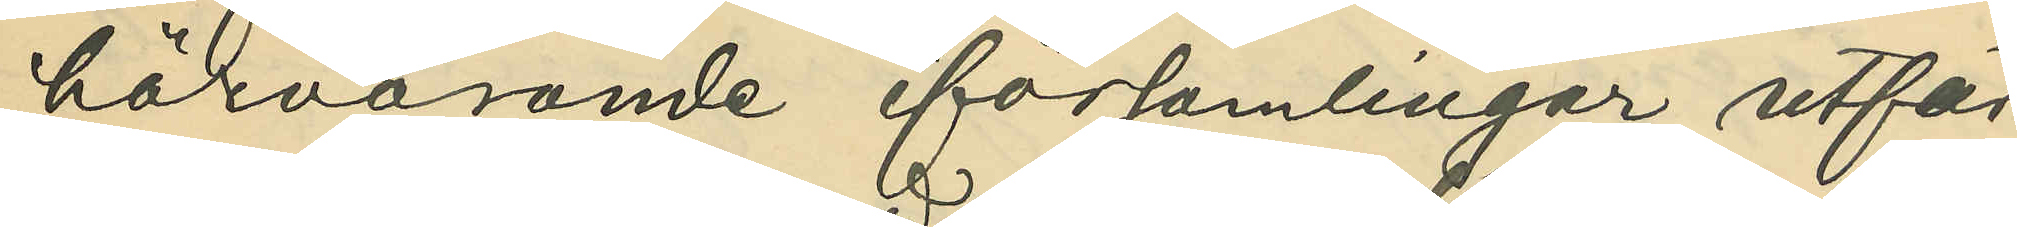härvarande församlingar utfär¬
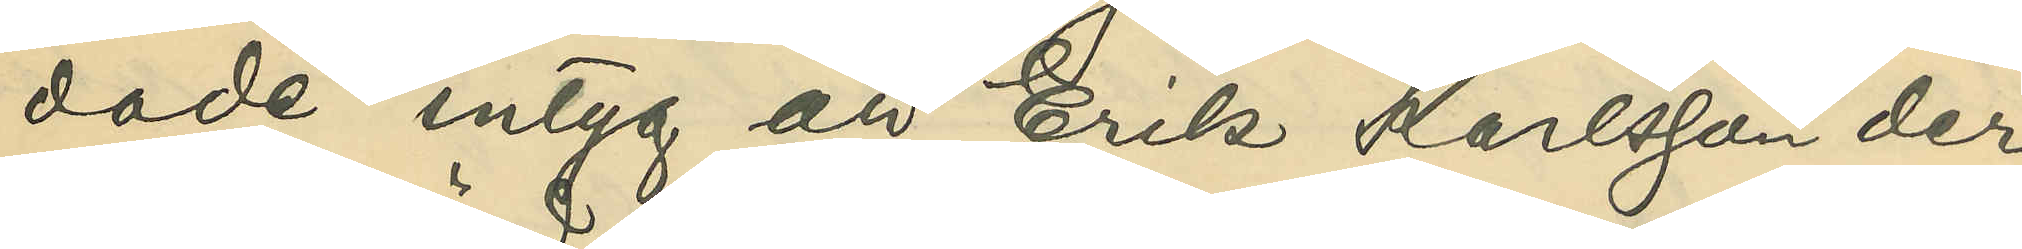dade intyg att Erik Karlsson der
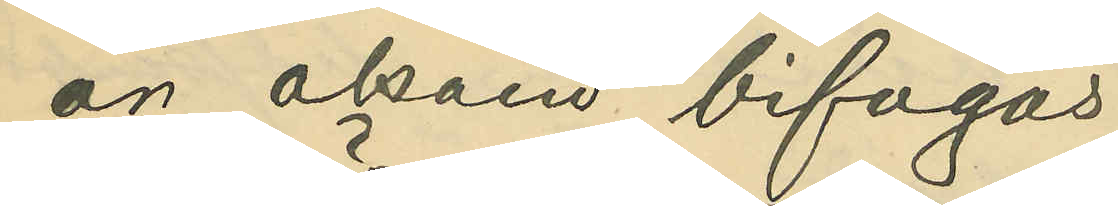är okänd bifogas.
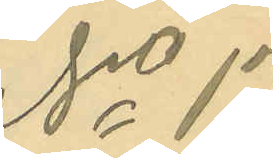No 17.
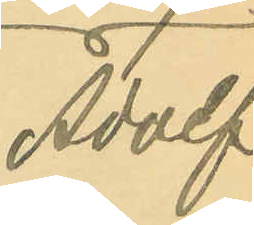Adolf
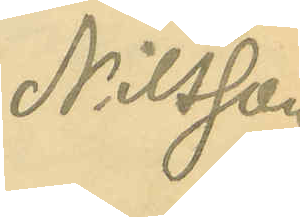Nilsson
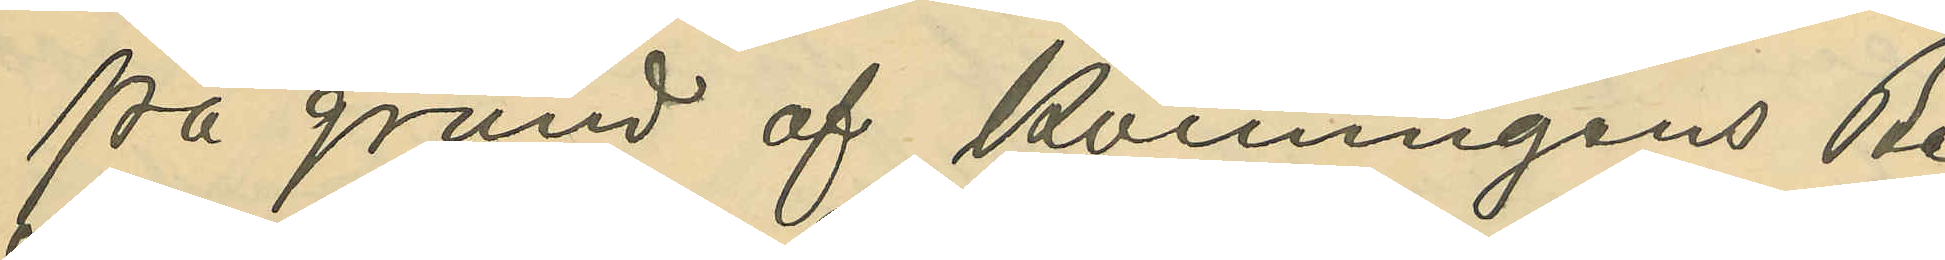På grund af Konungens Be¬
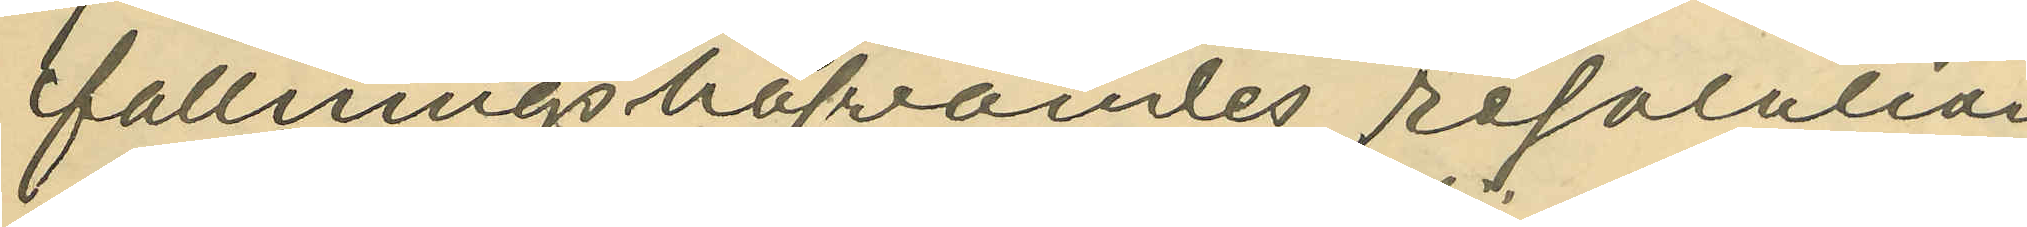fallningshafvandes resolution
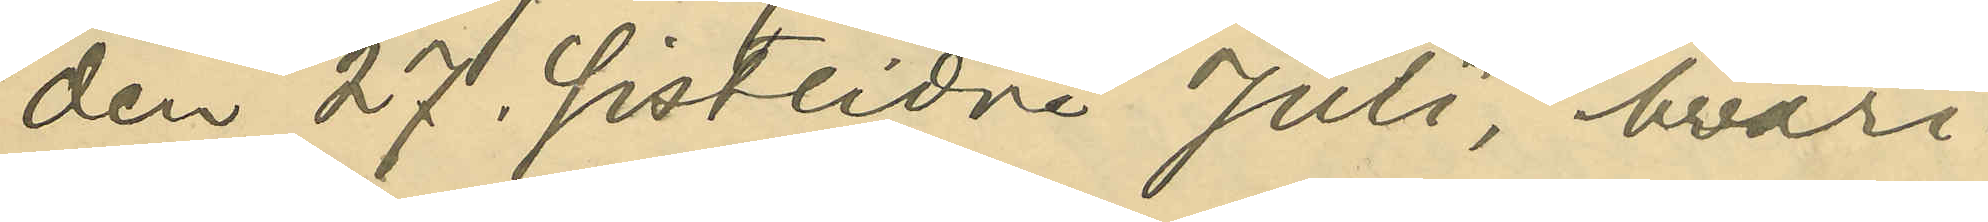den 27. sistlidne Juli, hvari¬
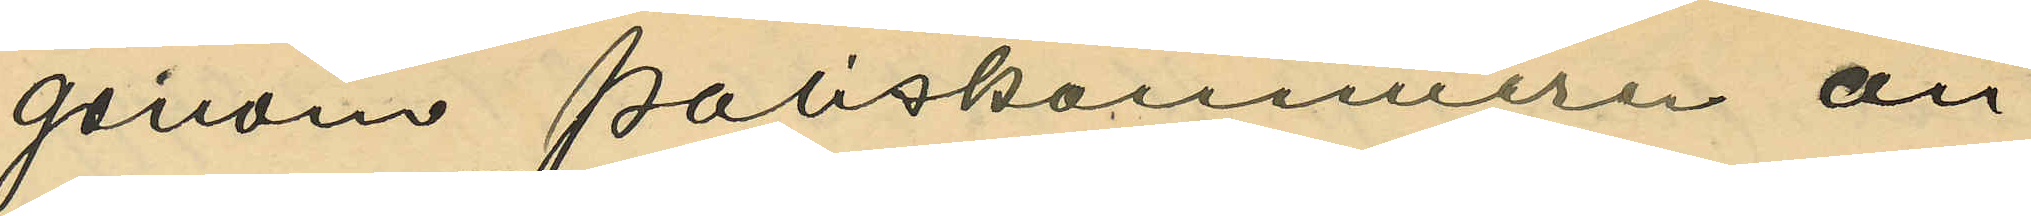genom Poliskammaren an¬
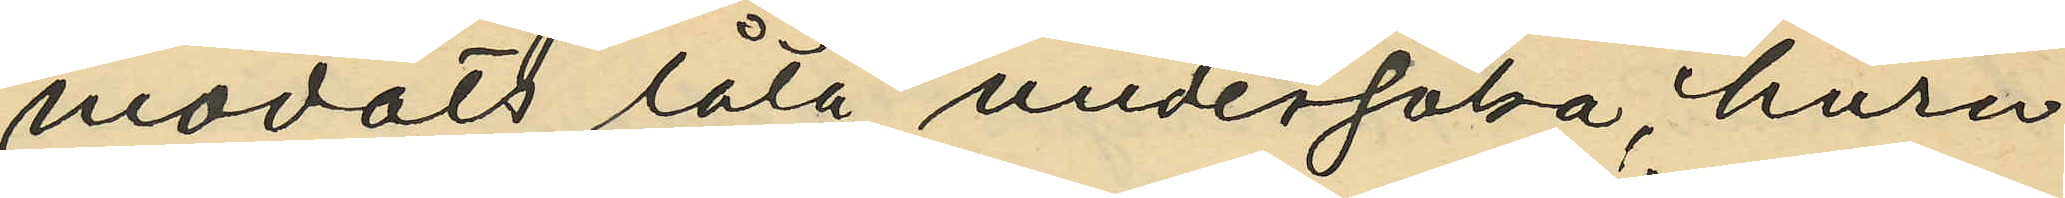modats låta undersöka, huru
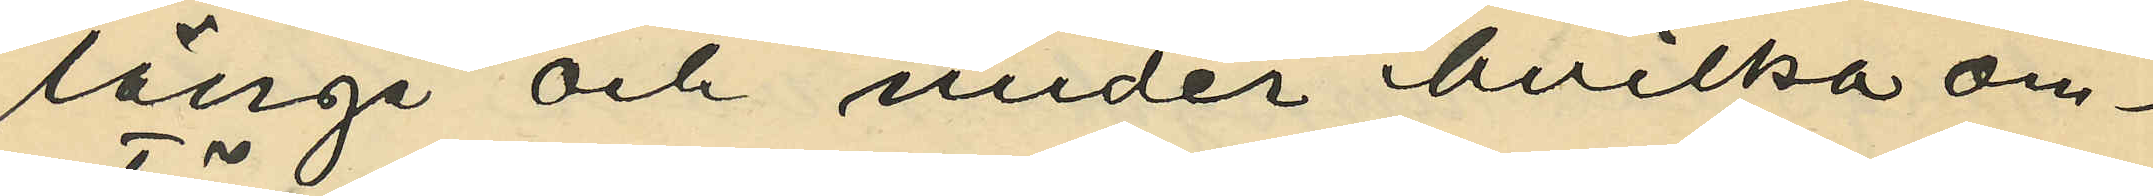länge och under hvilka om¬
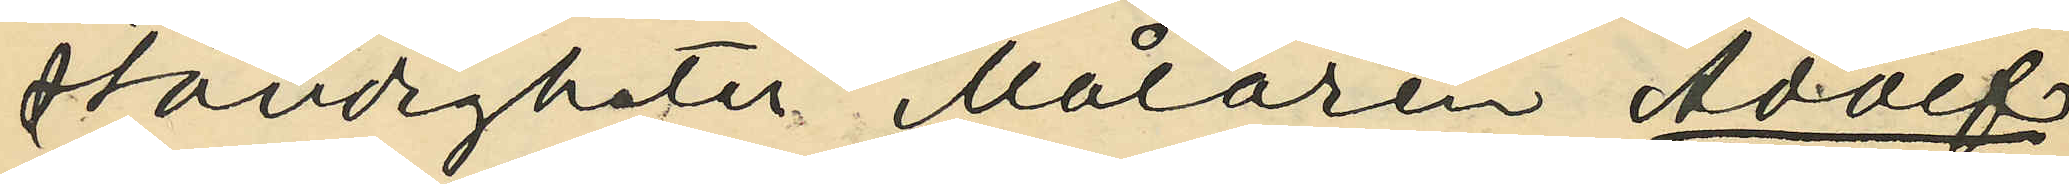ständigheter Målaren Adolf
